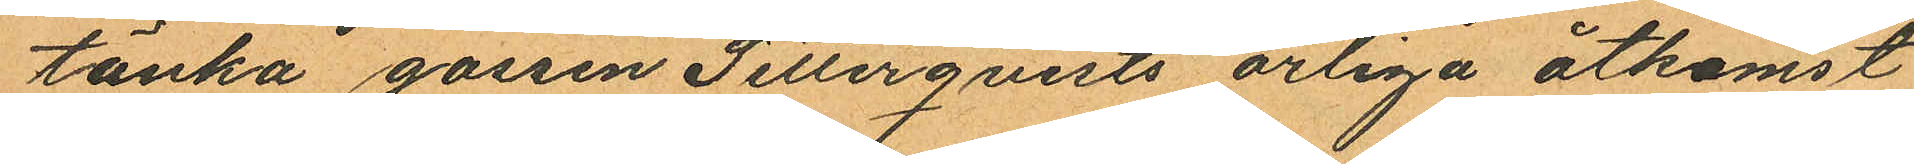tänka gossen Setterqvists ärliga åtkomst
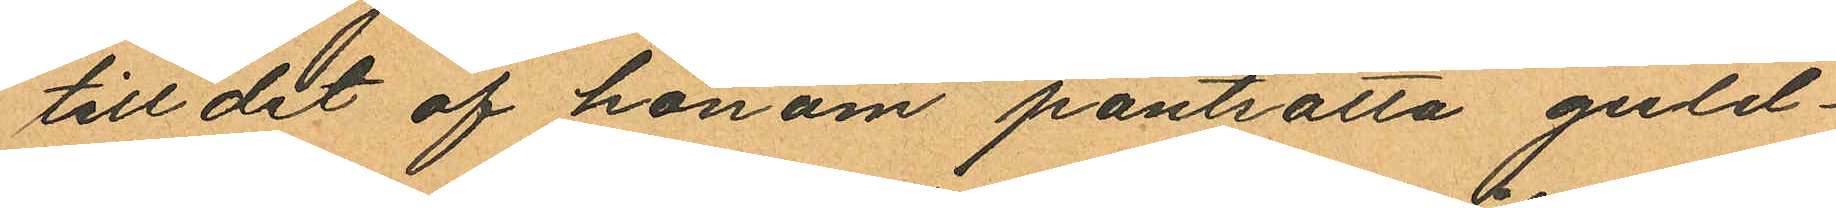till dit af honom pantsatta guld¬
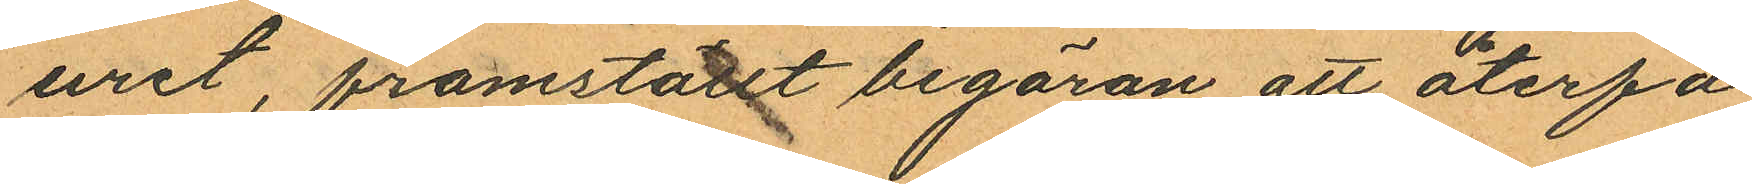uret, framställt begäran att återfå
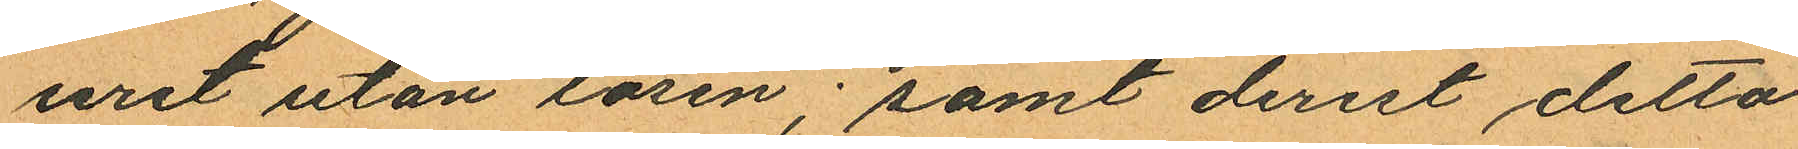uret utan lösen; samt derest detta
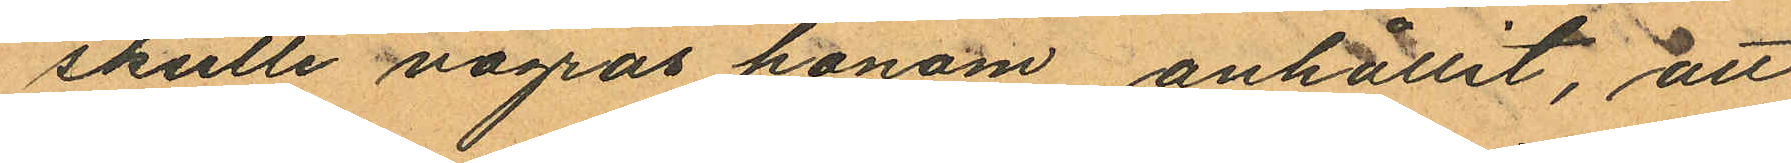skulle vagras honom, anhållit, att
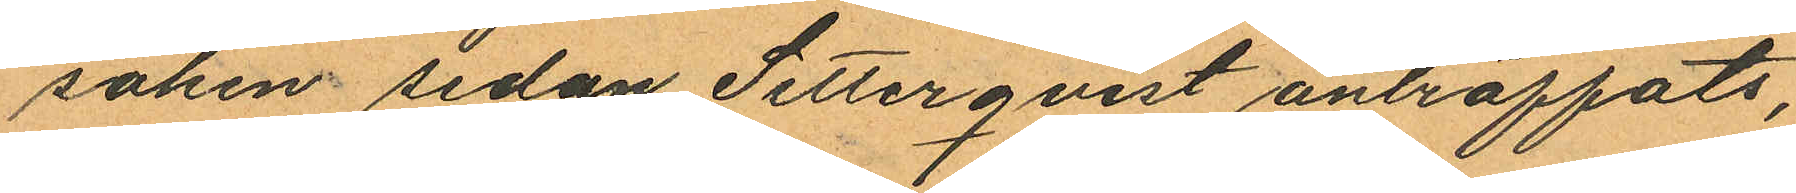saken sedan Setterqvist anträffats,
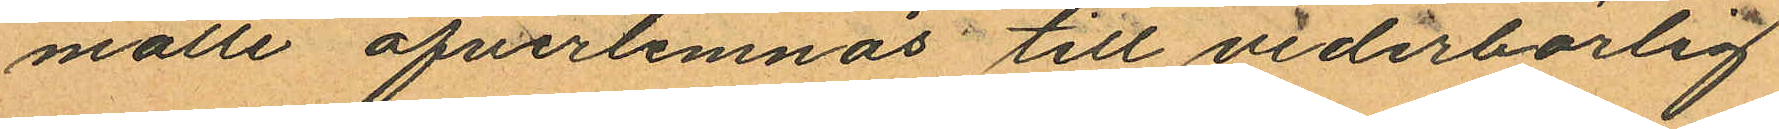måtte öfverlemnas till vederbörlig
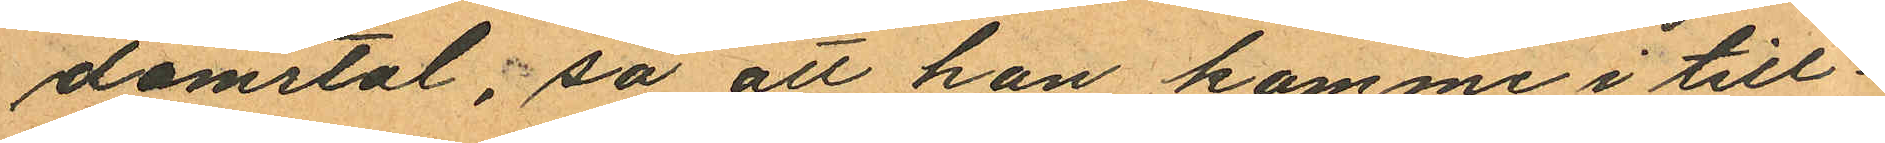domstol, så att han komme i till
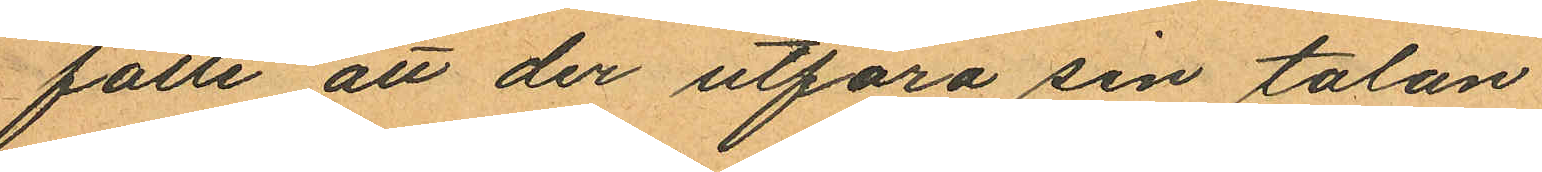fälle att der utföra sin talan
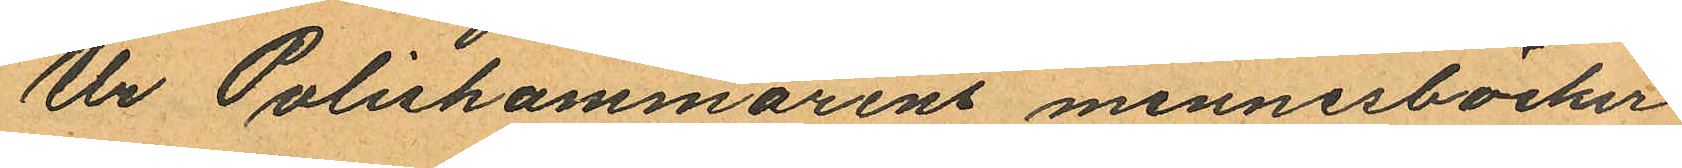Ur Poliskammarens minnesböcker
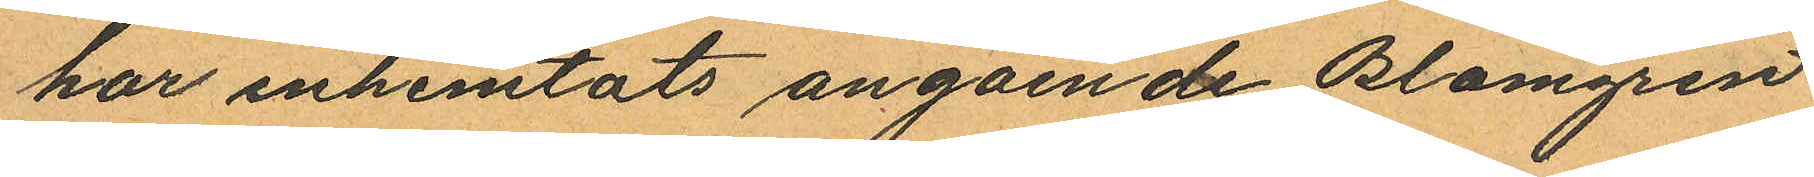har inhemtats angående Blomgren
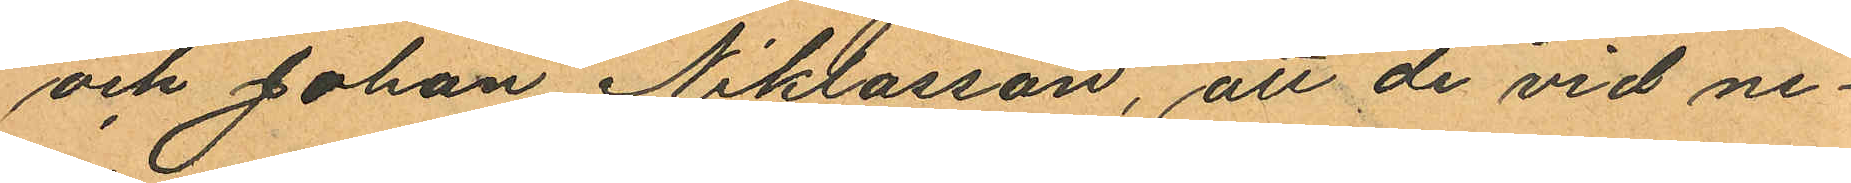och Johan Niklasson, att de vid ne¬
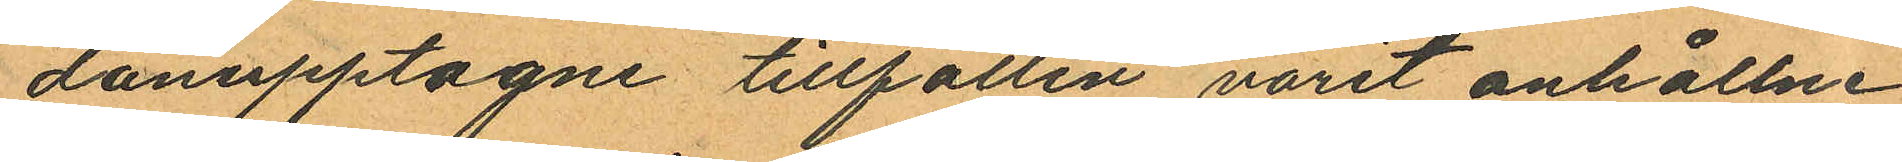danupptagne tillfällen varit anhållne
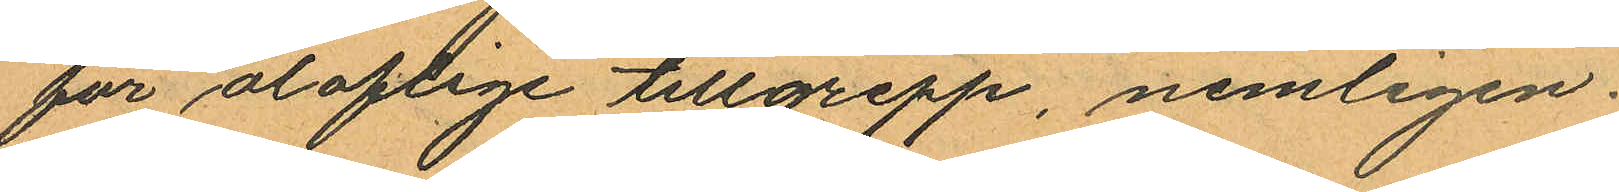för oloflige tillgrepp, nemligen
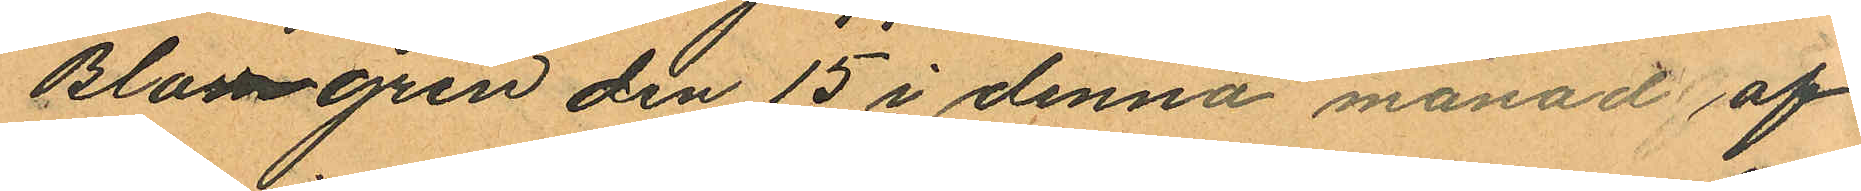Blomgren den 15 i denna månad af
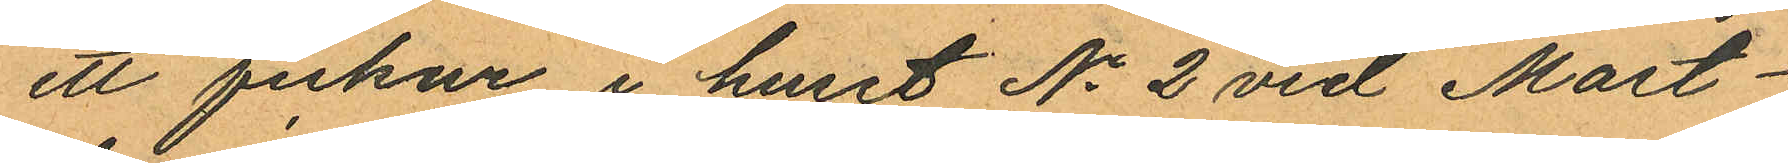ett fickur i huset No 2 vid Mast¬
